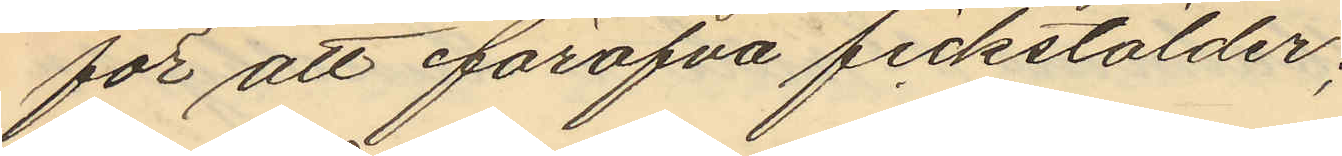för att föröfva fickstölder;
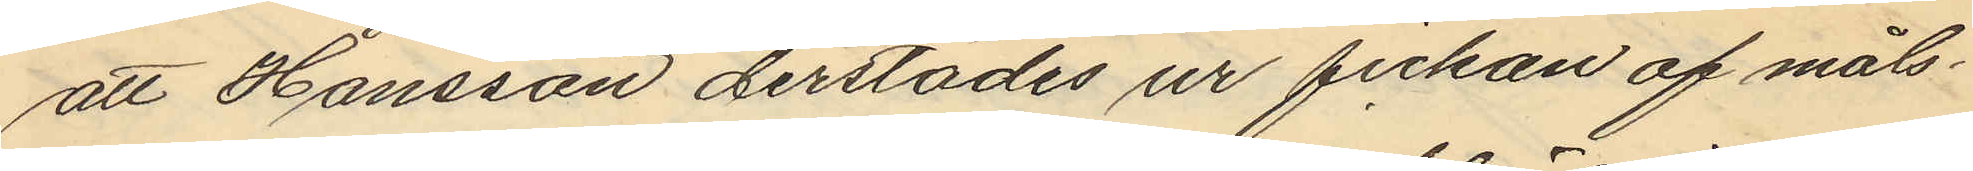att Hansson derstädes ur fickan af måls¬
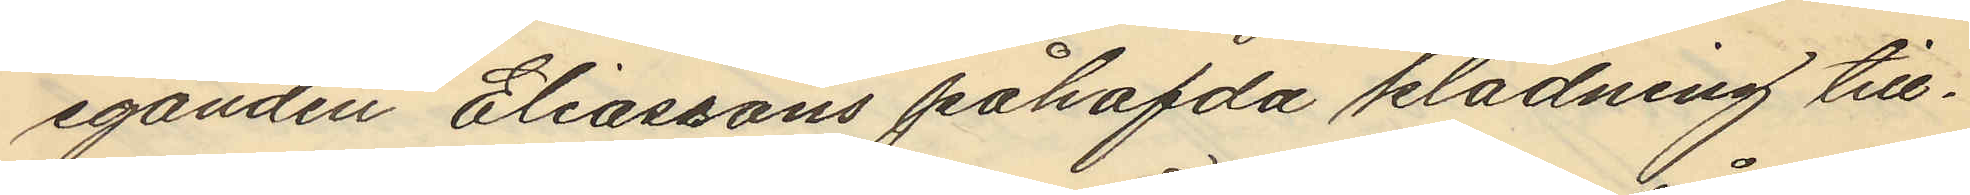eganden Eliassons påhafda klädning till¬
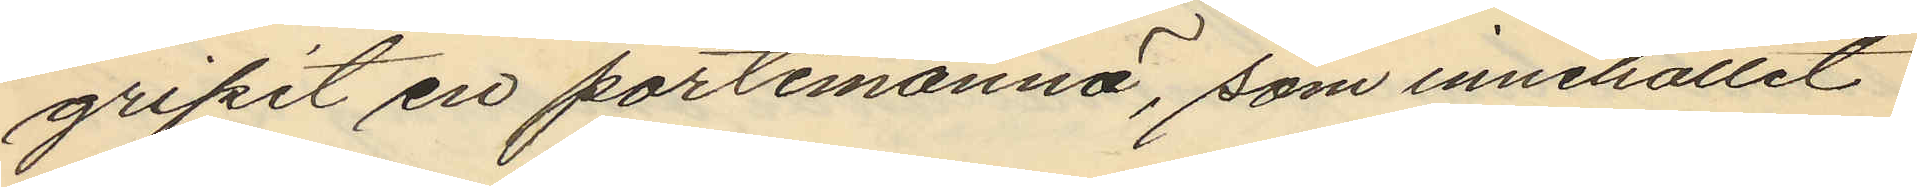gripit en portmonnä, som innehållit
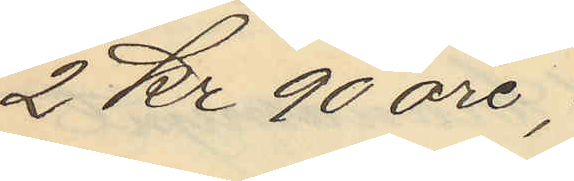2 Kr 90 öre;
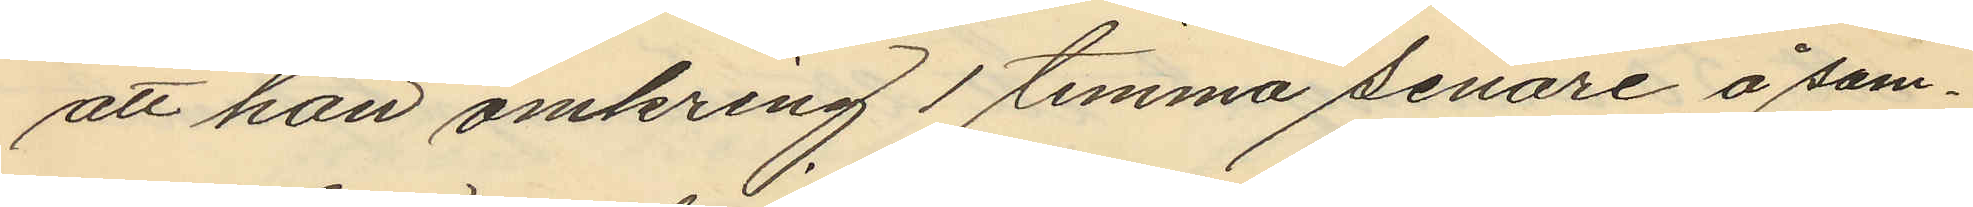att han omkring 1 timma senare å sam¬
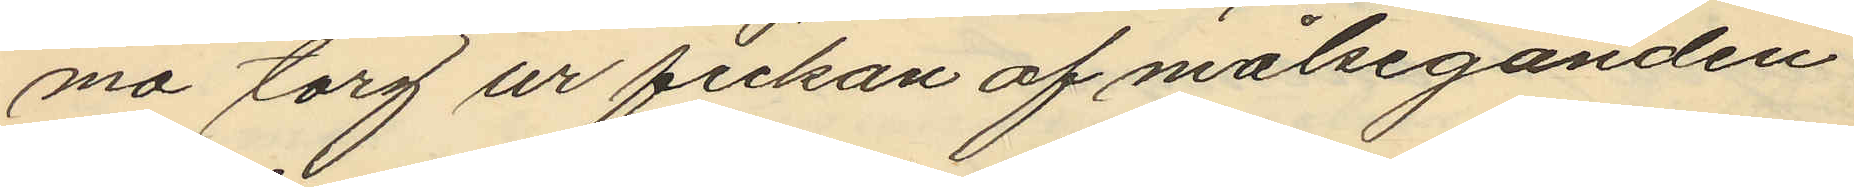ma torg ur fickan af målseganden
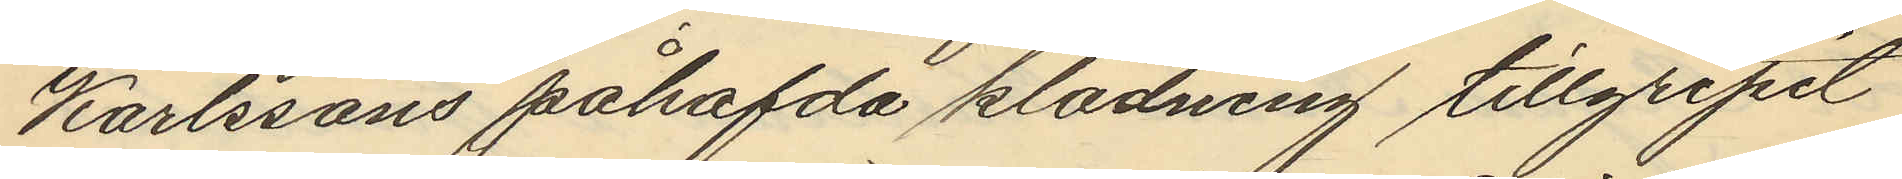Karlssons påhafvda klädning tillgripit
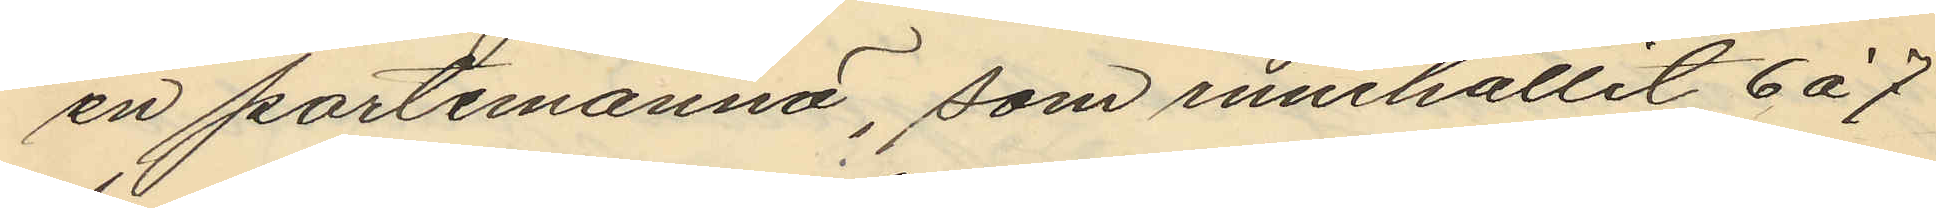en portemonnä, som innehållit 6 à 7
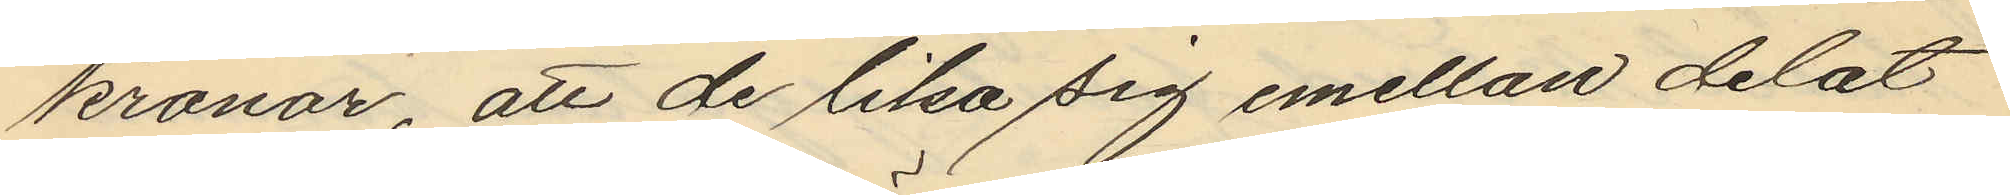kronor, att de lika sig emellan delat
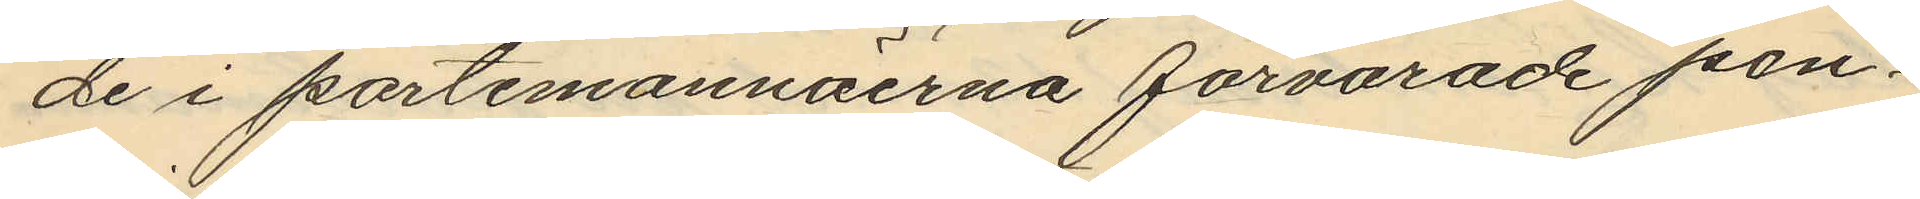de i portmonnäerna förvarade pen¬
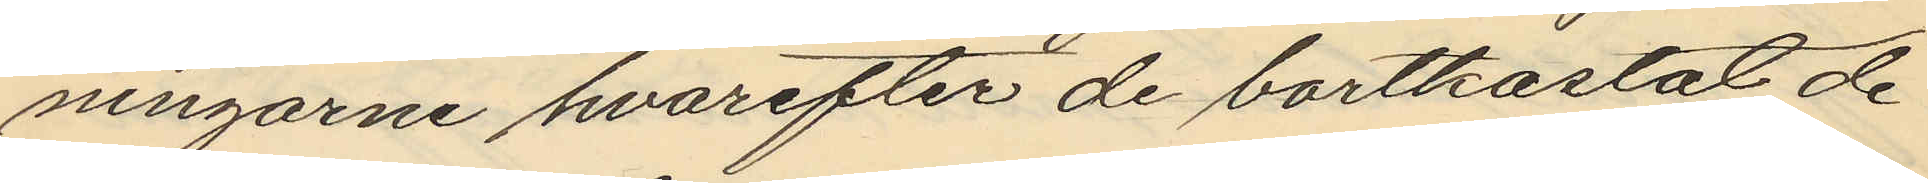ningarne hvarefter de bortkastat de
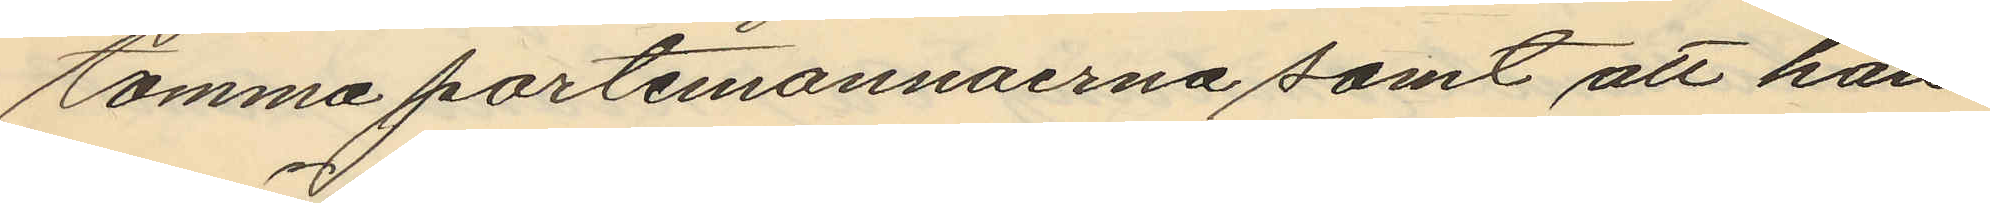tomma portemonnaerna samt att han
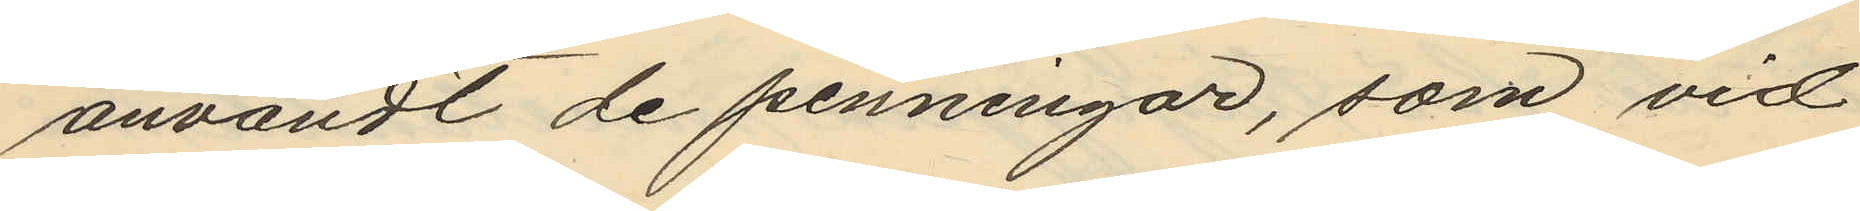användt de penningar, som vid
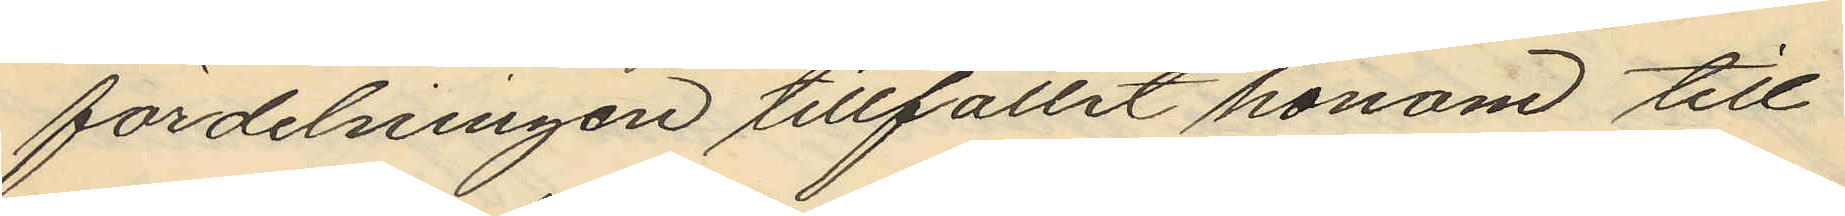fördelningen tillfallit honom till
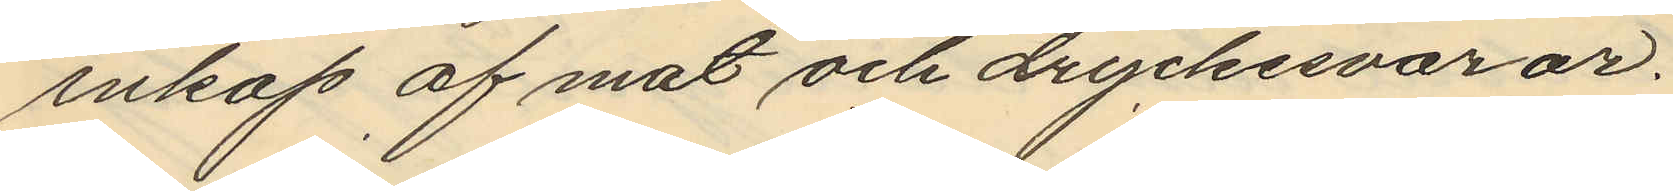inköp af mat och dryckesvaror.
